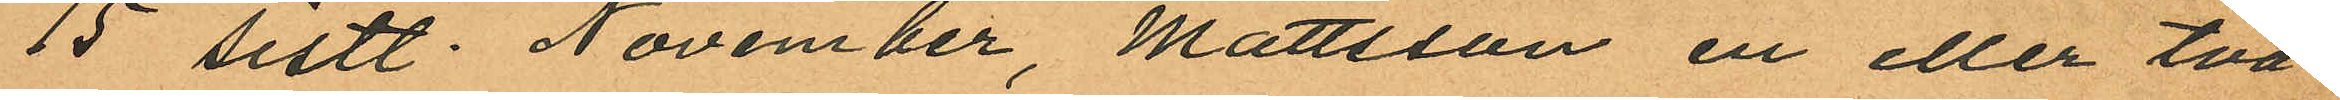15 sistl. November, Mattsson en eller två
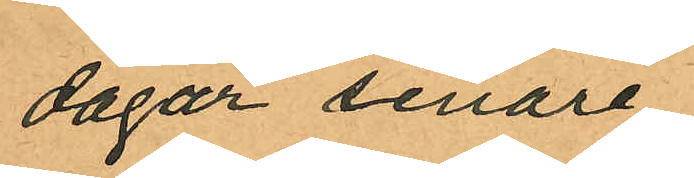dagar senare
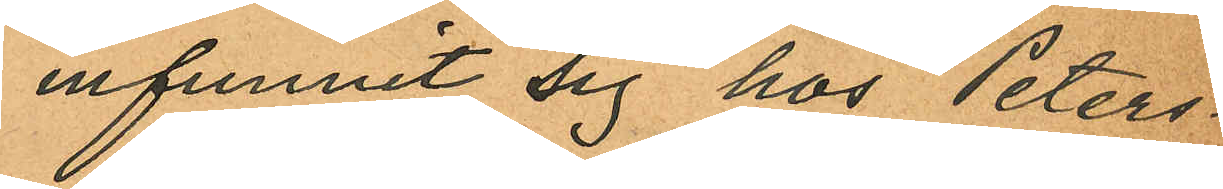infunnit sig hos Peters¬
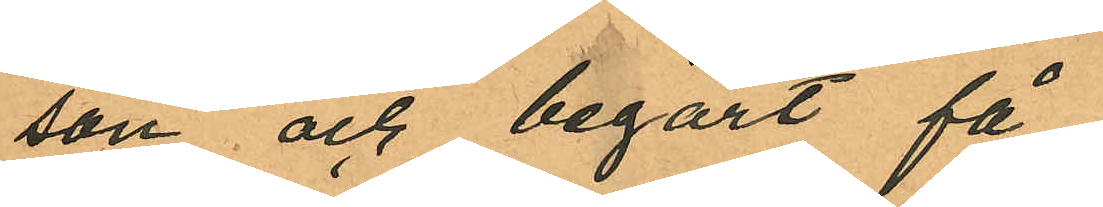son och begärt få
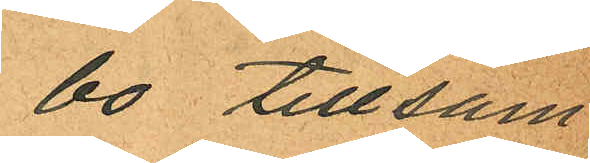bo tillsam¬
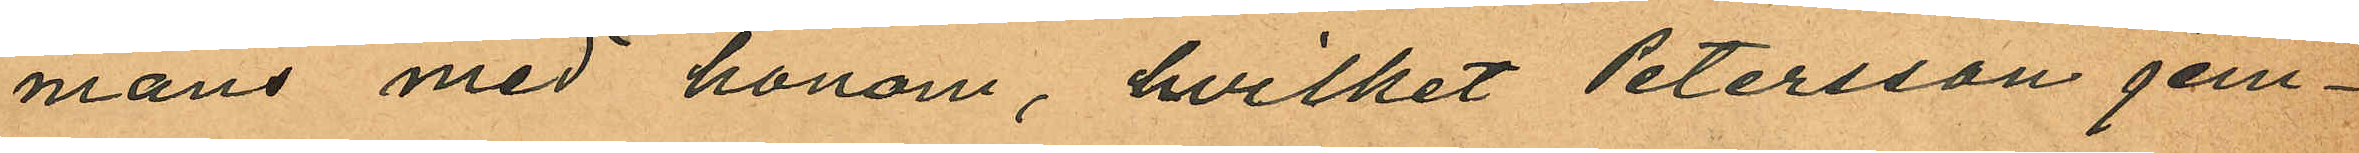mans med honom, hvilket Petersson jem¬
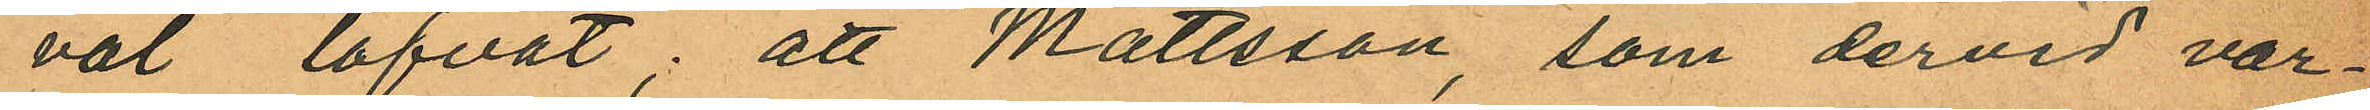väl lofvat; att Mattsson, som dervid var¬
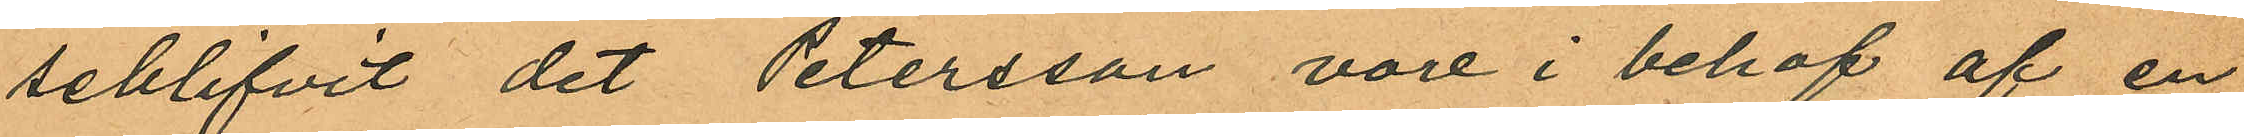seblifvit det Petersson vore i behof af en
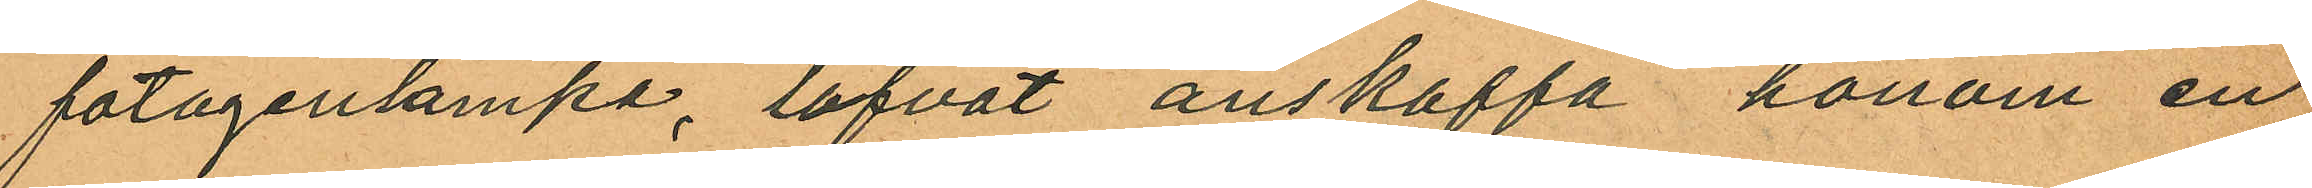fotogenlampa, lofvat anskaffa honom en
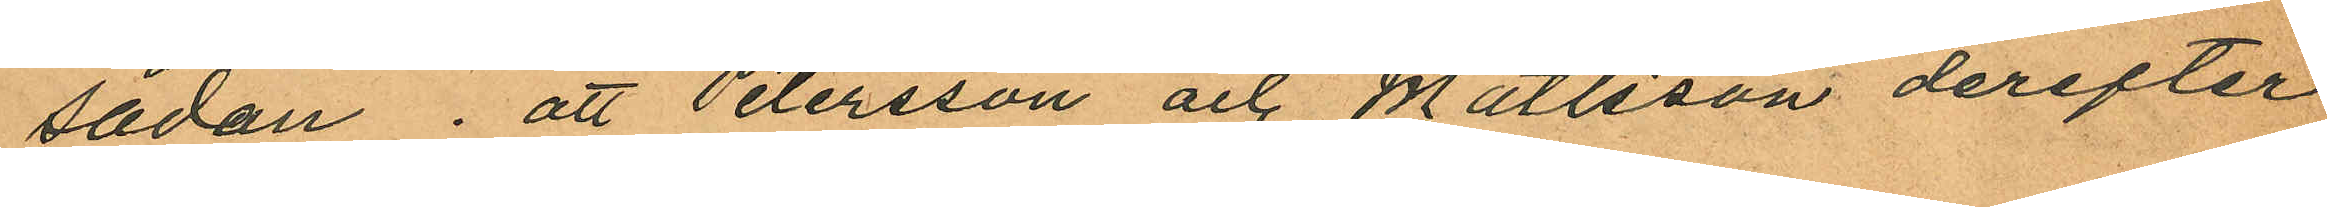sådan; att Petersson och Mattsson derefter
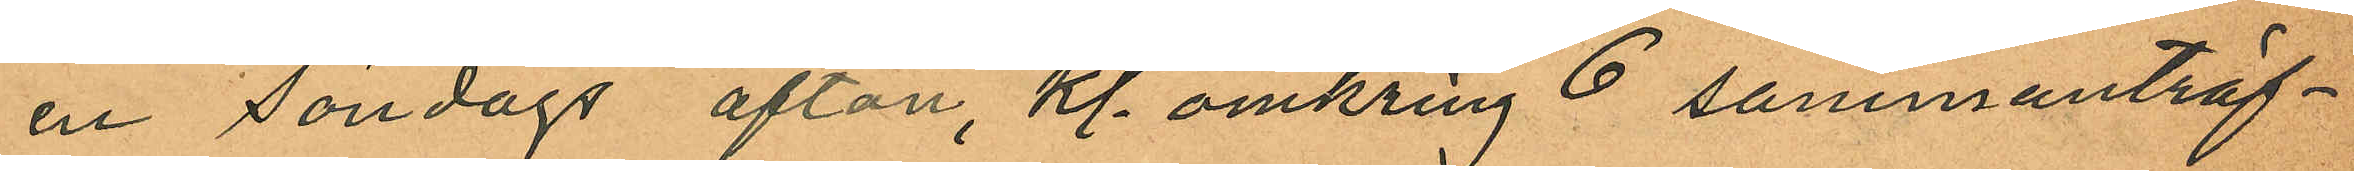en Söndags afton, kl. omkring 6 sammanträf¬
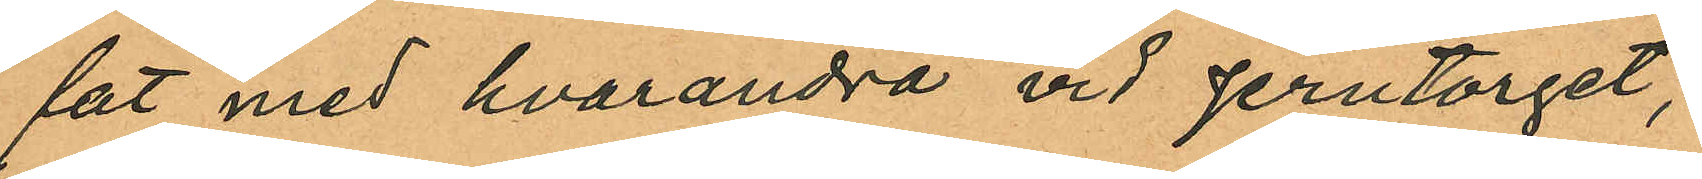fat med hvarandra vid Jerntorget,
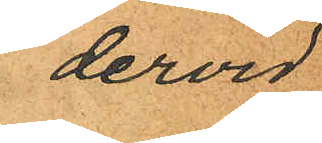dervid
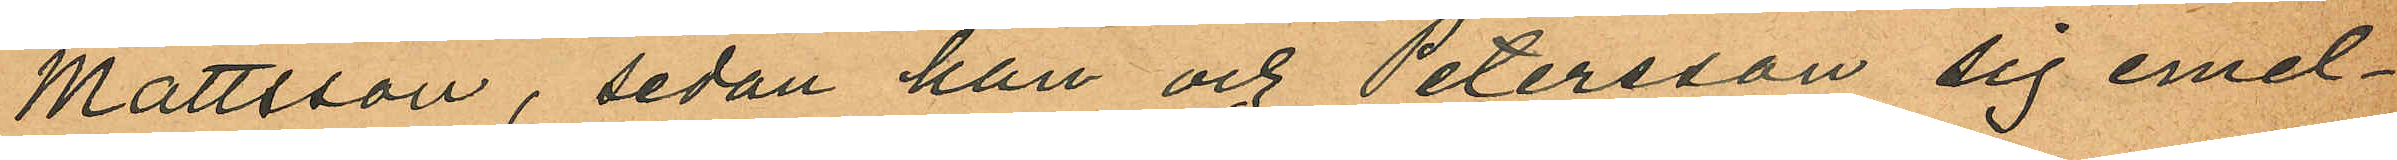Mattsson, sedan han och Petersson sig emel¬
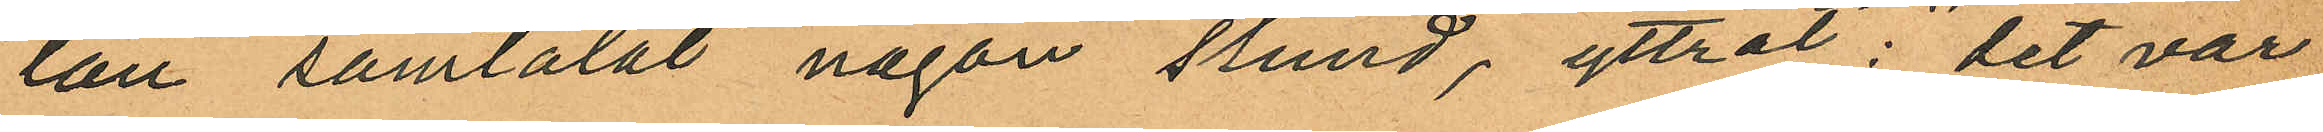lan samtalat någon stund, yttrat: "det var
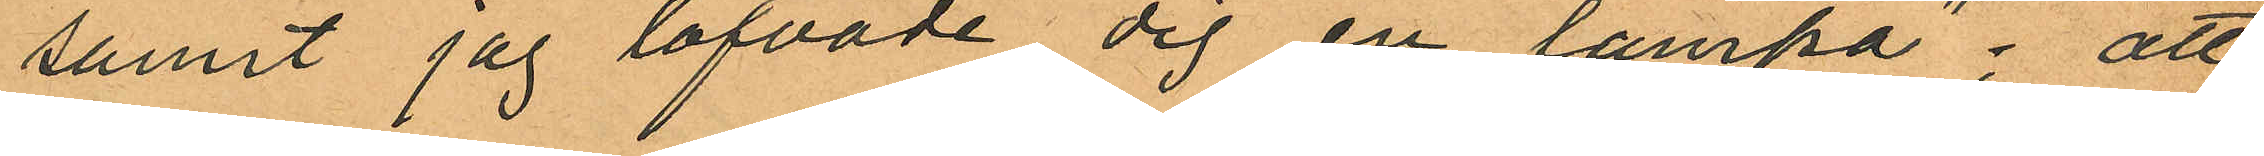sannt jag lofvade dej en lampa"; att
